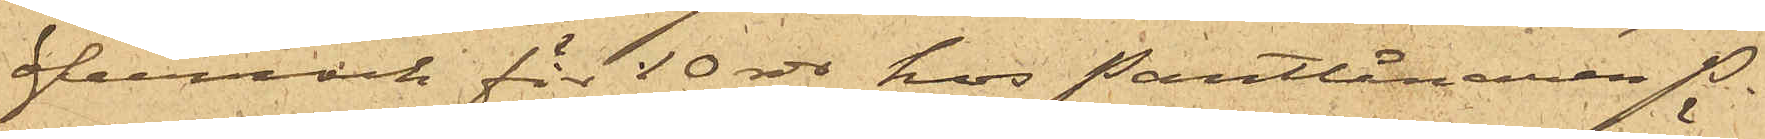öfverrock för 10 rdr hos Pantlånaren P.
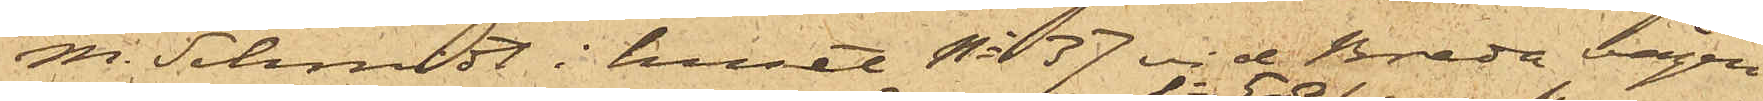M. Schmidt i huset No 37 vid Breda vägen
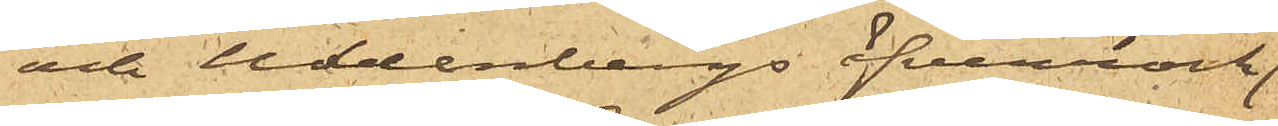och Uddenbergs öfverrock
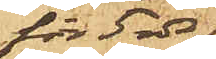för 5 rdr
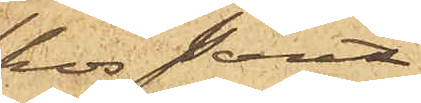hos pant¬
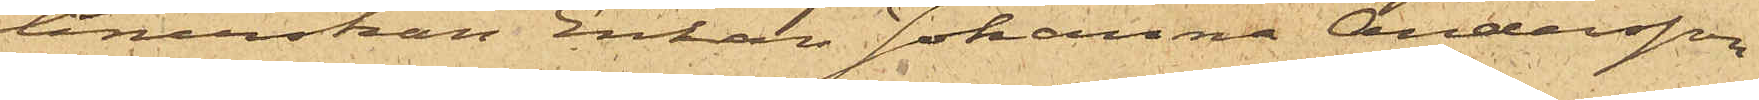lånerskan Enkan Johanna Andersson
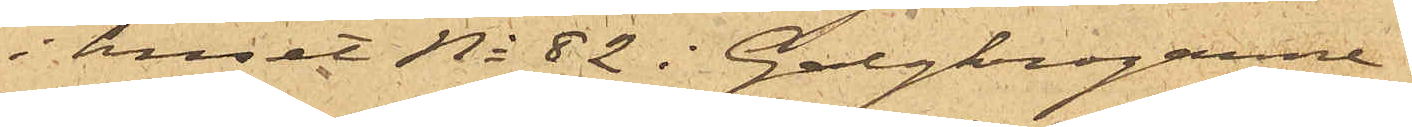i huset No 82 i Galgkrogarne.
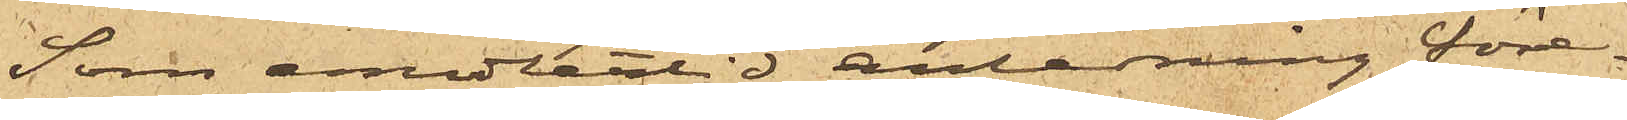Som emellertid anledning före¬
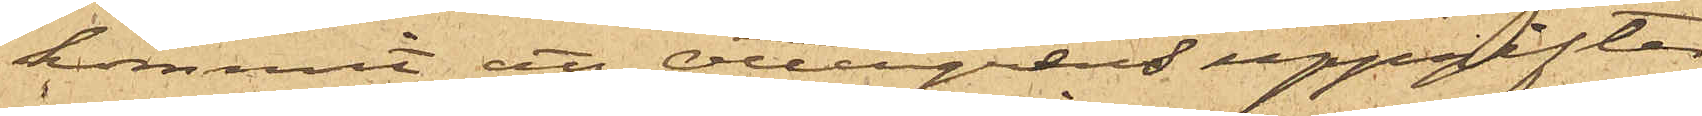kommit att Ottergrens uppgifter
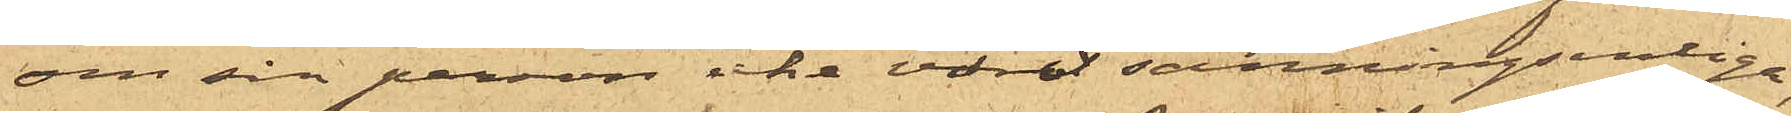om sin person icke varit sanningsenliga
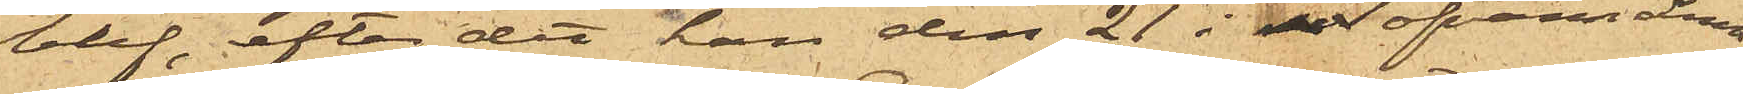blef, efter det han den 21 i ofvanämn¬
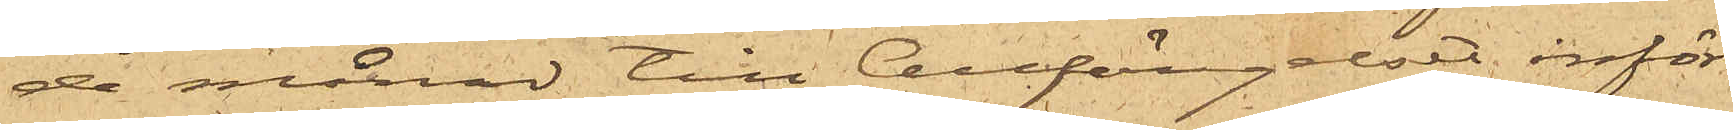de månad till Cellfängelset inför¬
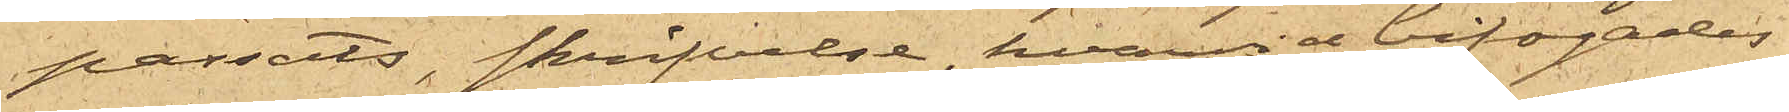passats, skrifvelse, hvarvid bifogades
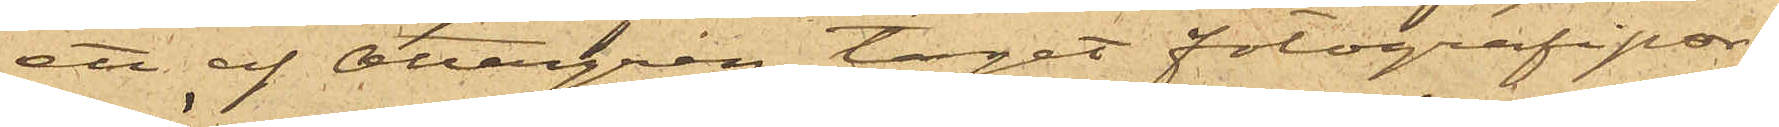ett af Ottergren taget fotografipor¬
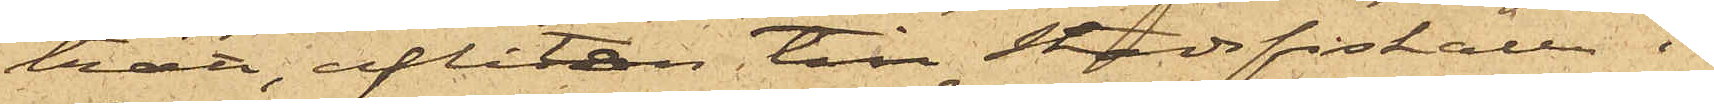trätt, aflåten till Stadsfiskalen i
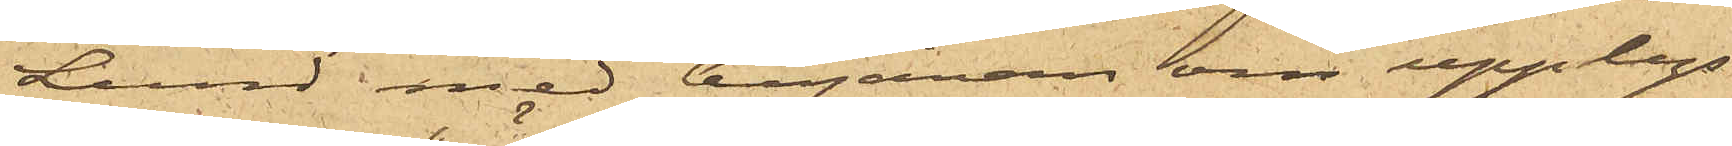Lund med begäran om upplys¬
